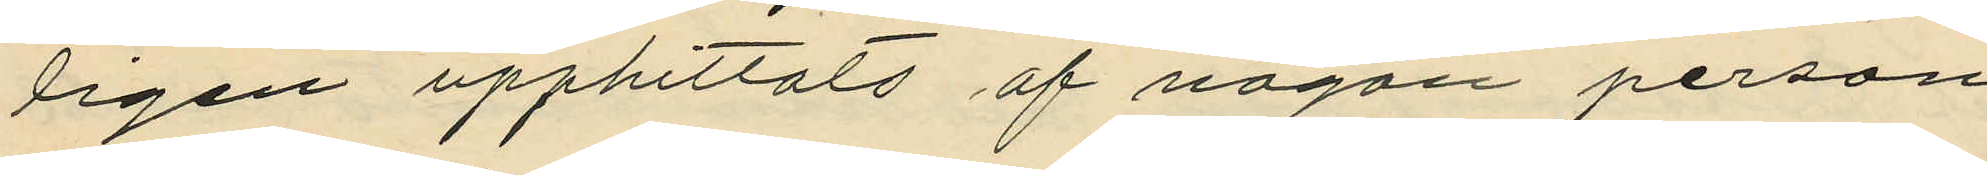ligen upphittats af någon person
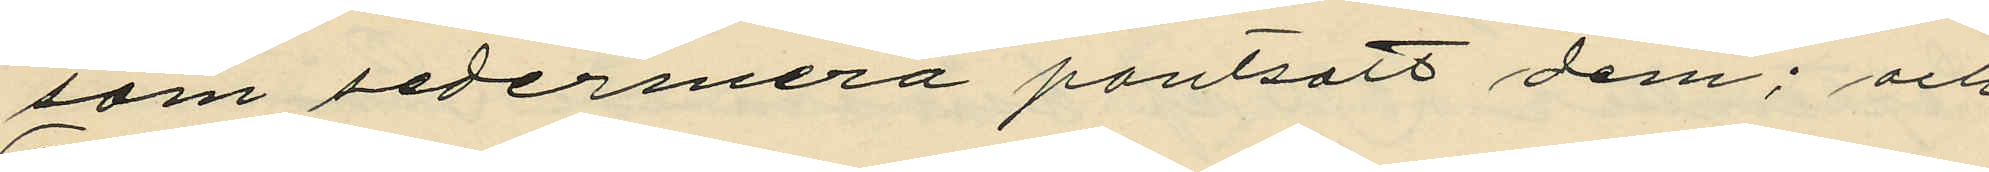som sedermera pantsatt dem; och
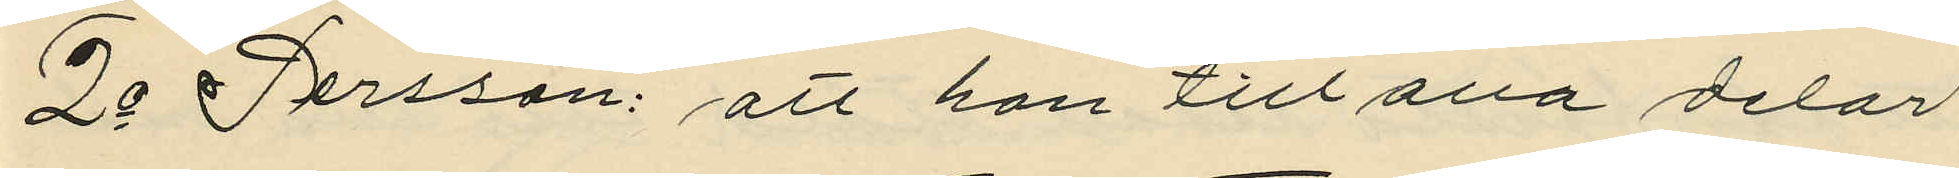2o Persson: att han till alla delar
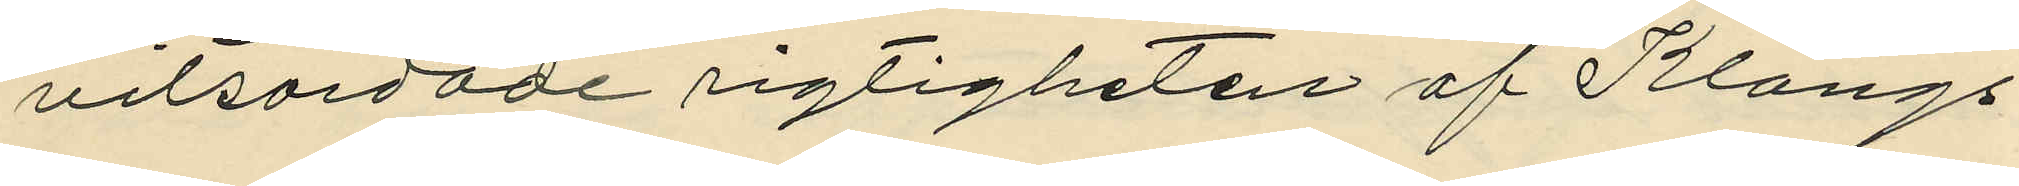vitsordade rigtigheten af Klangs
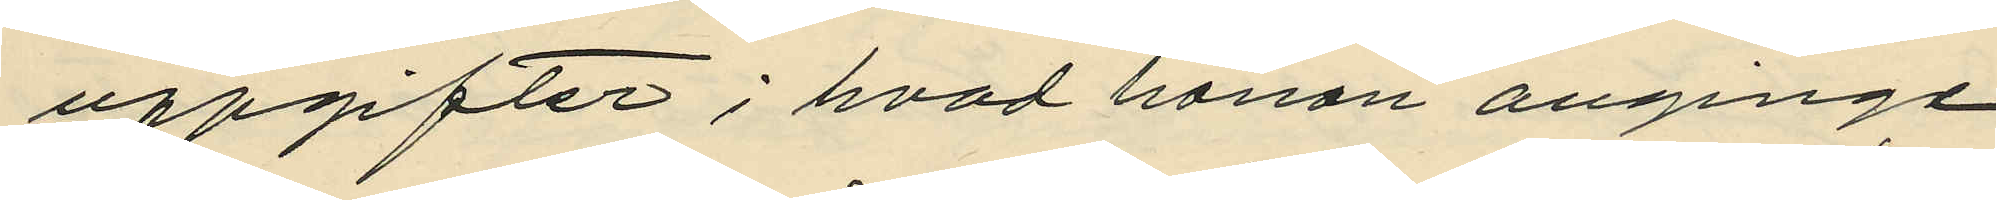uppgifter; hvad honon anginge.
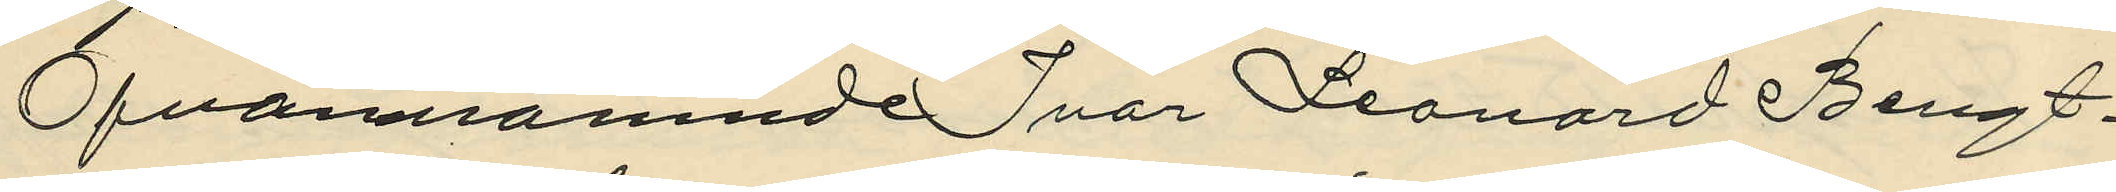Ofvannämnde Ivar Leonard Bengt¬
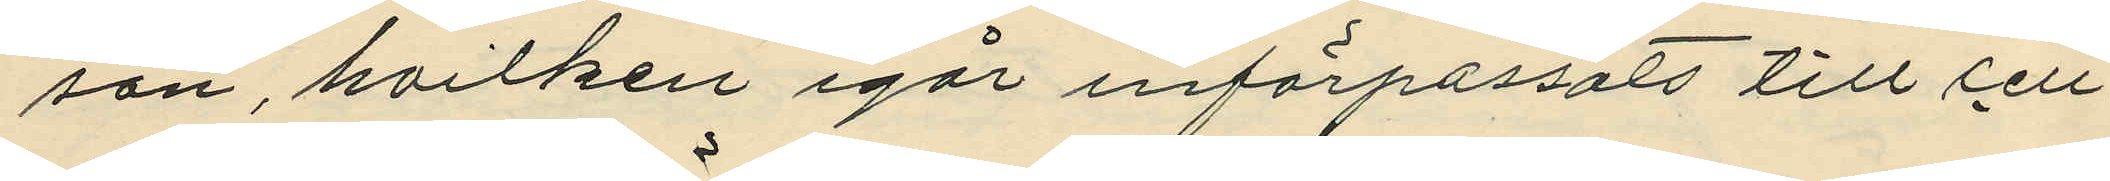son, hvilken igår införpassats till cell¬
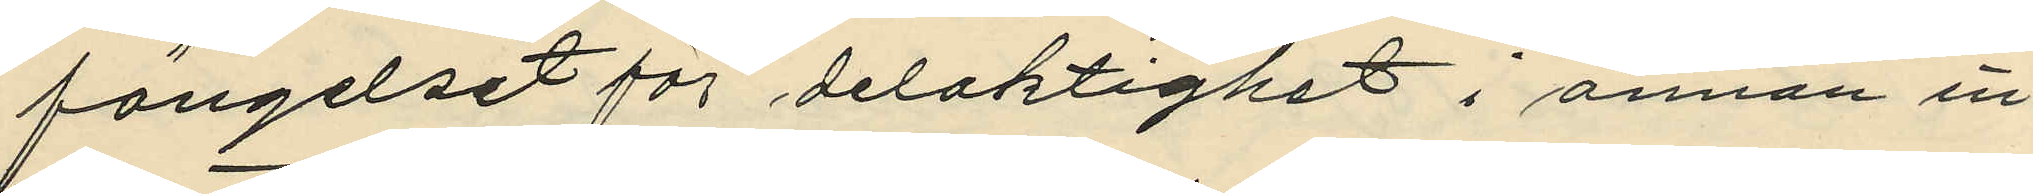fängelset för delaktighet i annan in¬
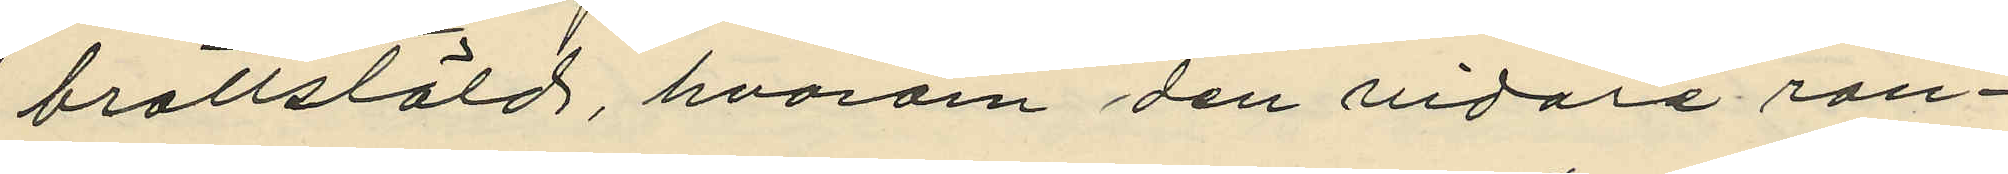brottstöld, hvarom den vidare ran¬
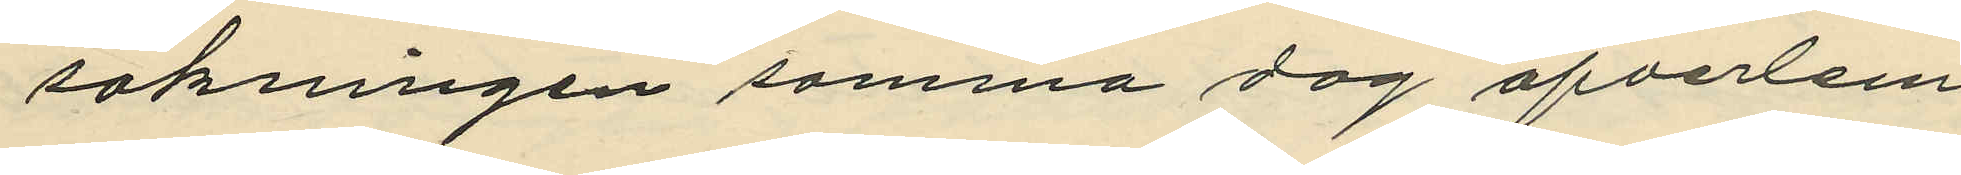sakningen samma dag öfverlem¬
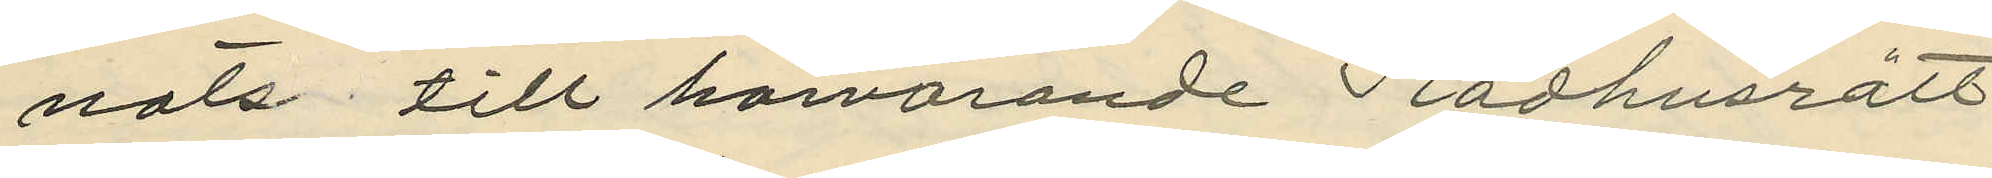nats till härvarande Rådhusrätt,
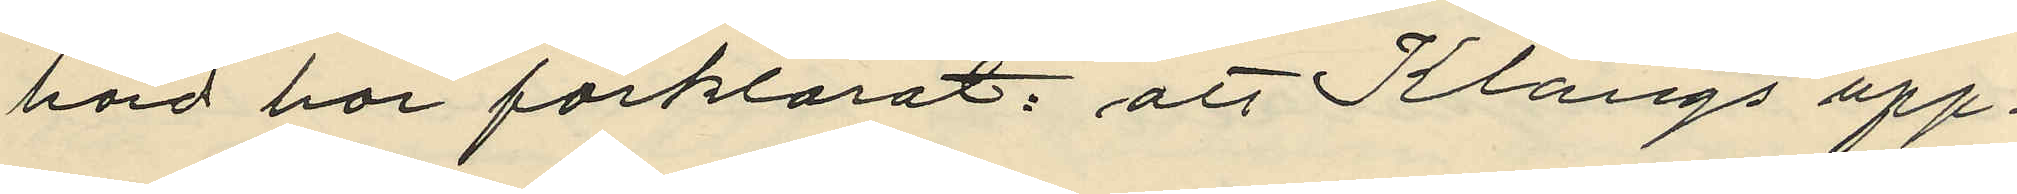hörd har förklarat: att Klangs upp¬
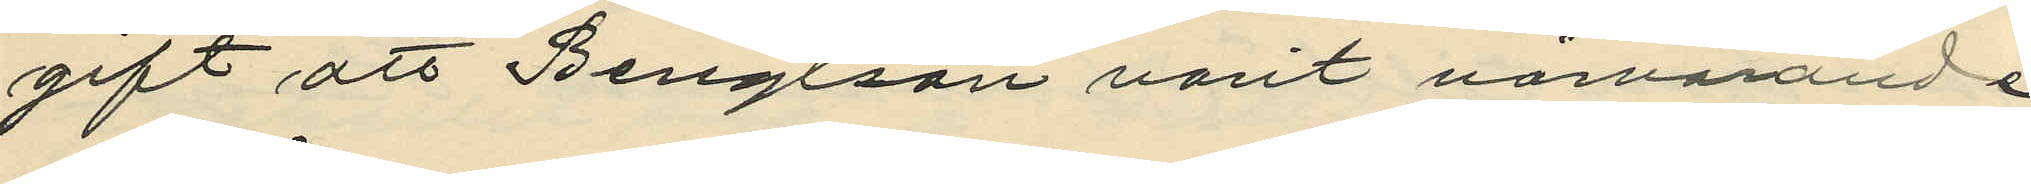gift att Bengtson varit närvarande
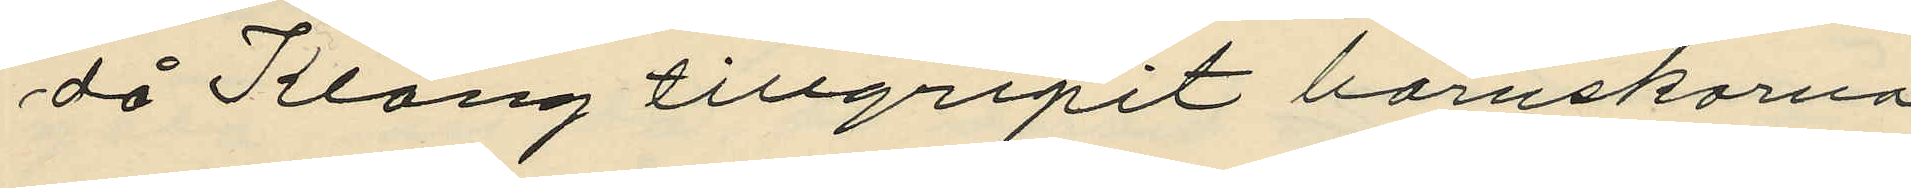då Klang tillgripit barnskorna
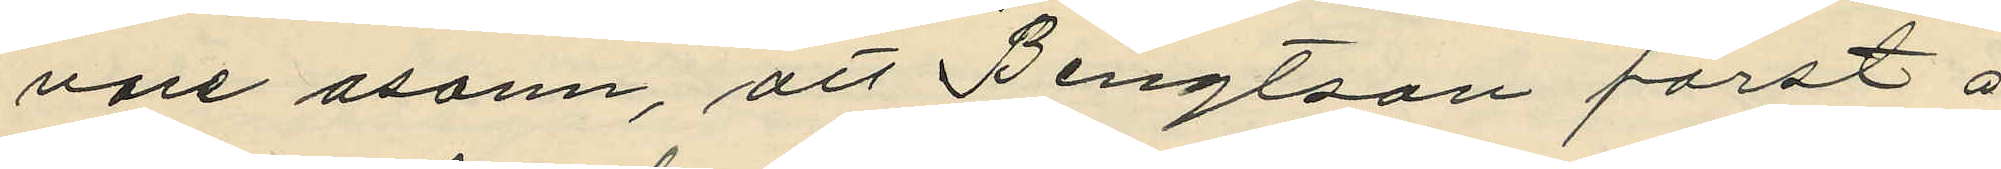vore osann, att Bengtson först å
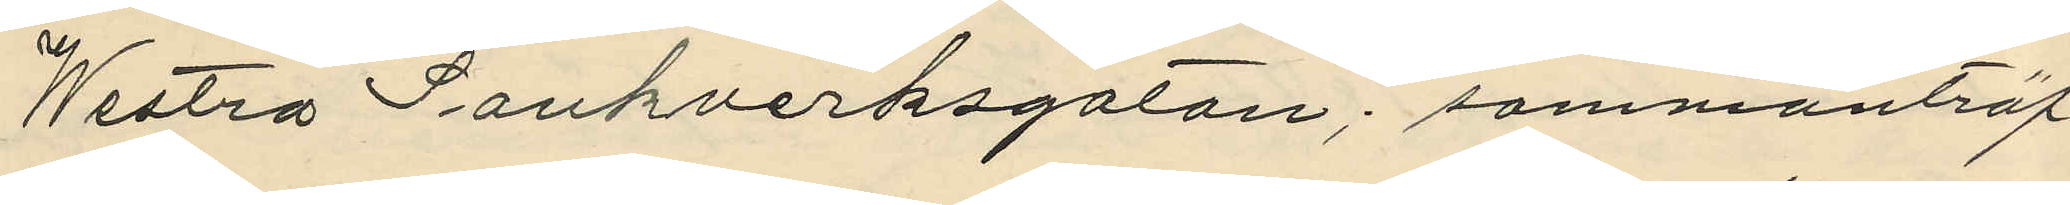Westra Sankverksgatan; sammanträf¬
